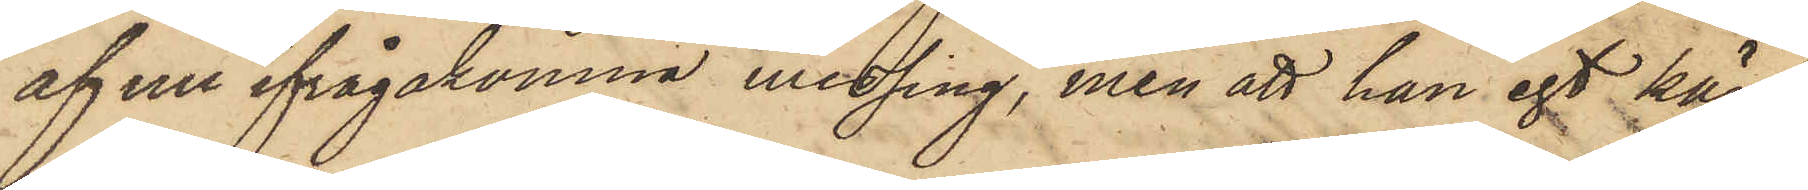af nu ifrågakomne messing, men att han egt kän¬
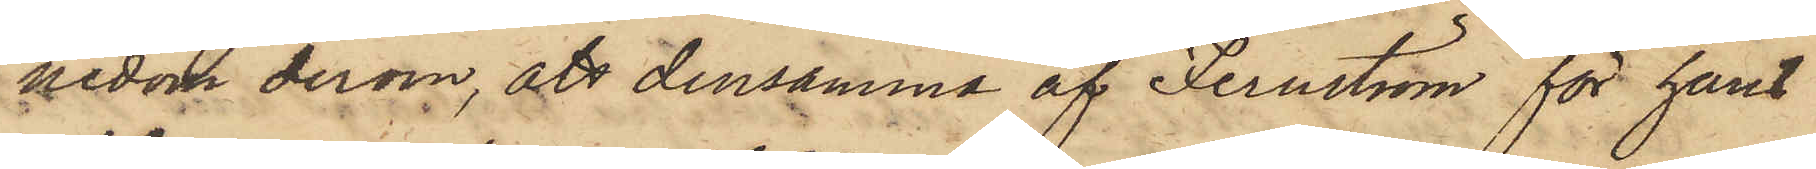nedom derom, att densamma af Fernström för hans
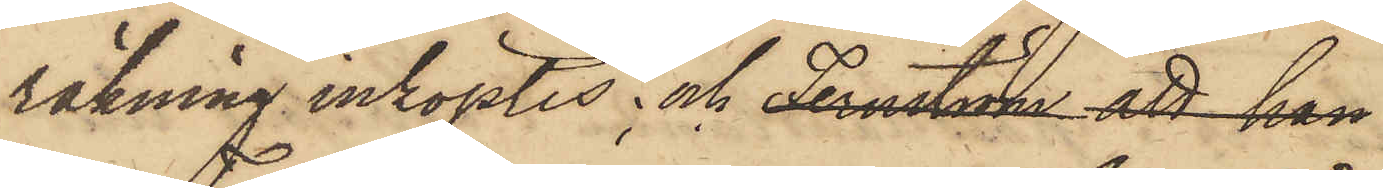räkning inköptes; och Fernström att han
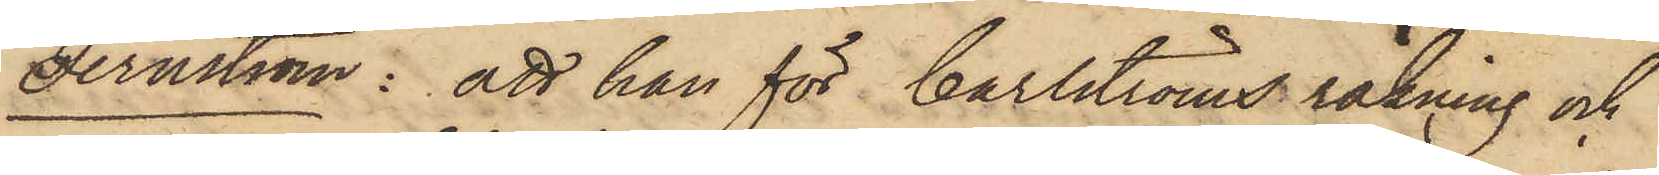Fernström: att han för Carlströms räkning och
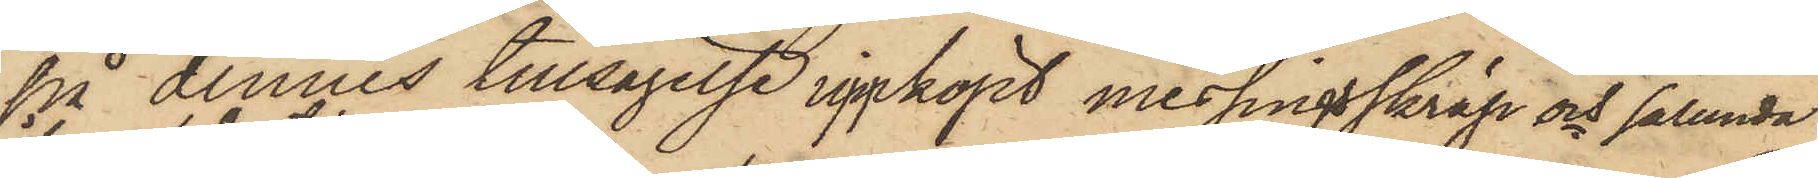på dennes tillsägelse inköpt messingsskräp och sålunda
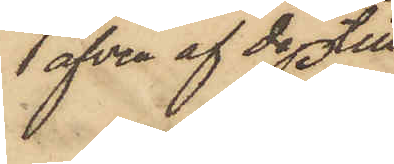 äfven af de till
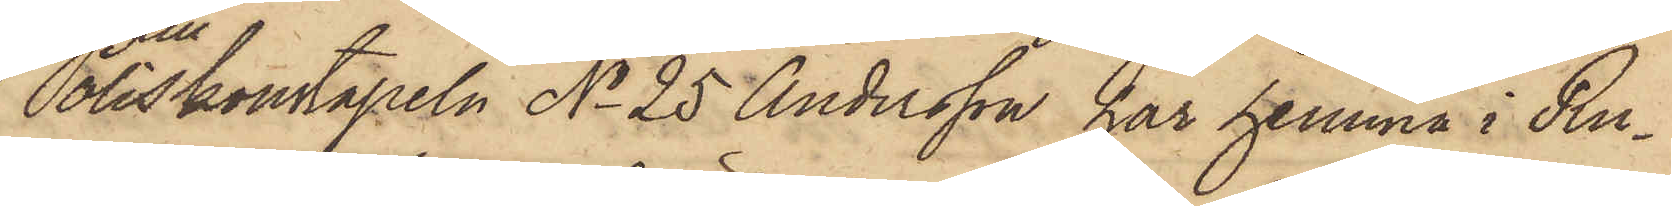Poliskonstapeln No 25 Andersson har hemma i Ru¬
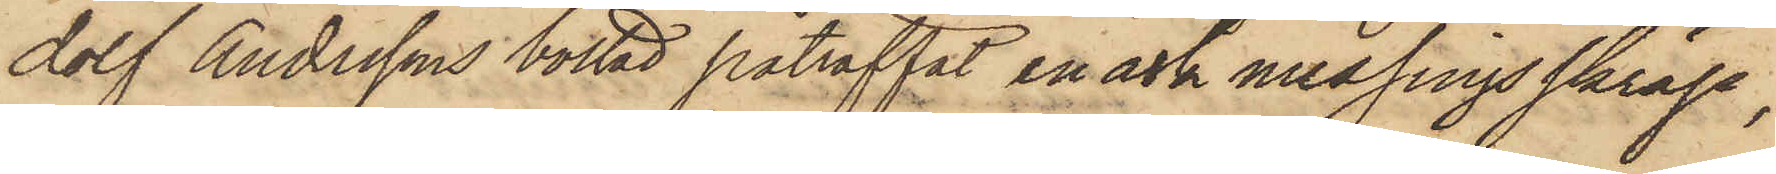dolf Anderssons bostad påträffat en ask messingsskräp,
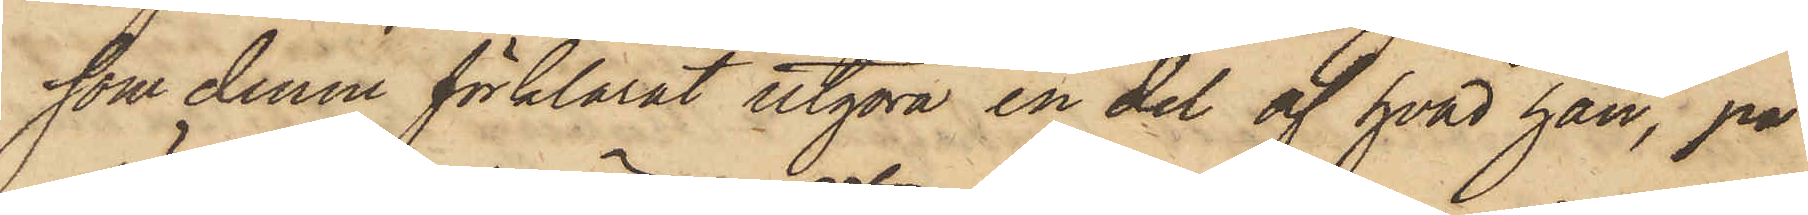som denne förklarat utgöra en del af hvad han, på
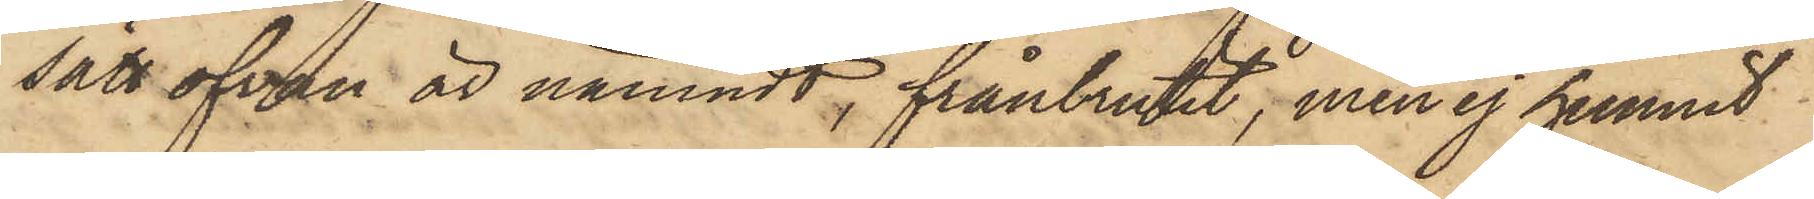sätt ofvan är nämndt, frånbrutit, men ej hunnit
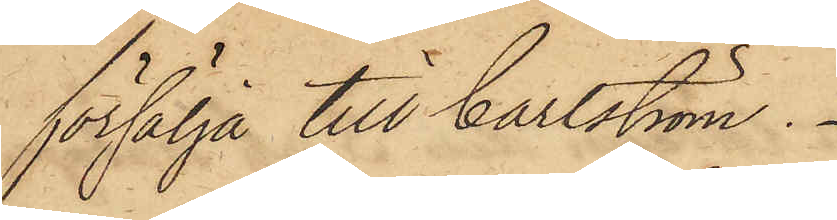försälja till Carlström.
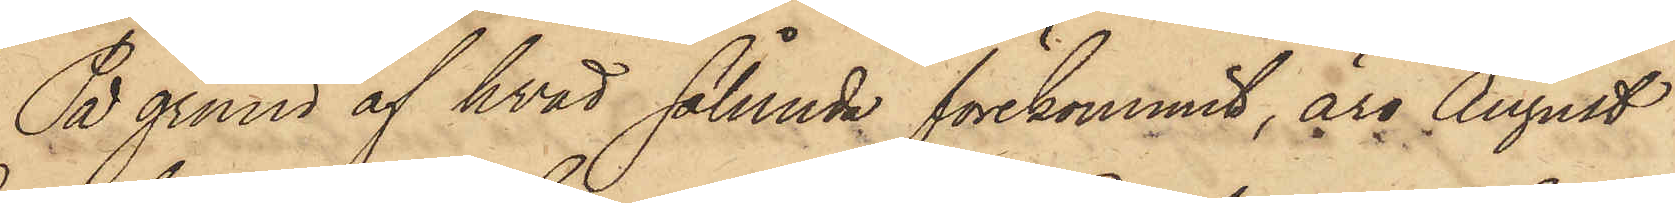På grund af hvad sålunda förekommit, äro August
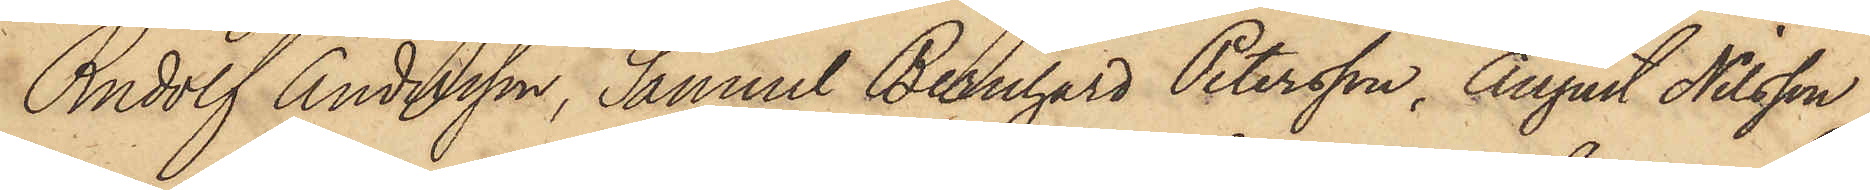Rudolf Andersson, Samuel Bernhard Petersson, August Nilsson
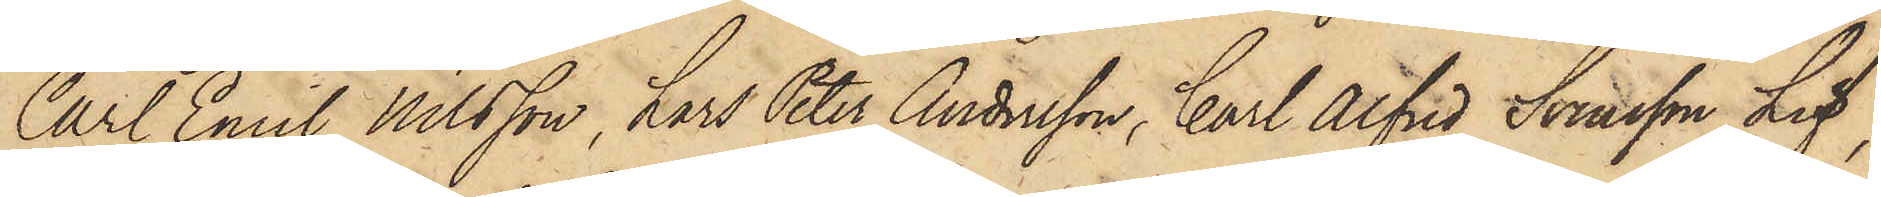Carl Emil Nilsson, Lars Peter Andersson, Carl Alfred Svensson Lif,
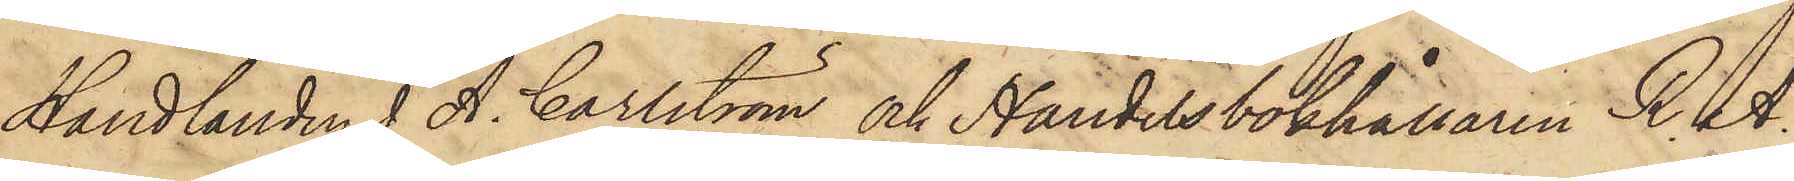Handlanden J. A. Carlström och Handelsbokhållaren R. A.
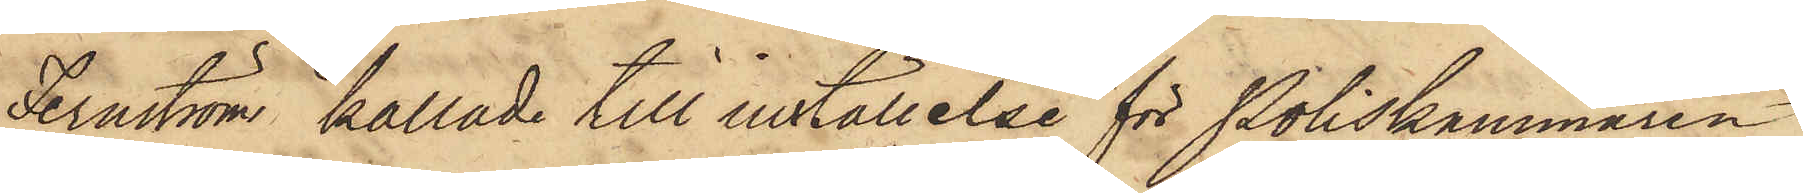Fernström kallade till inställelse för Poliskammaren
